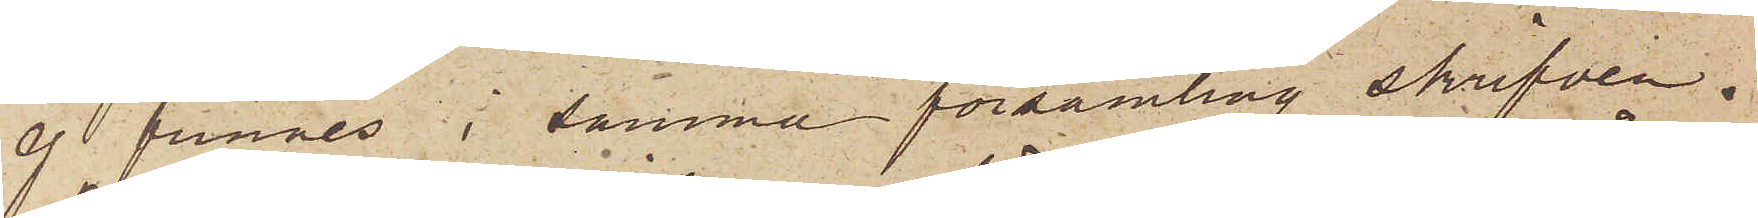ej funnes i samma församling skrifven.
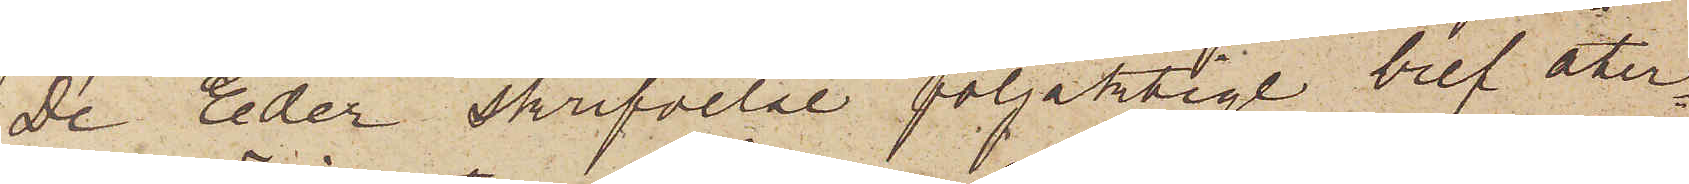De Eder skrifvelse följaktige bref åter¬
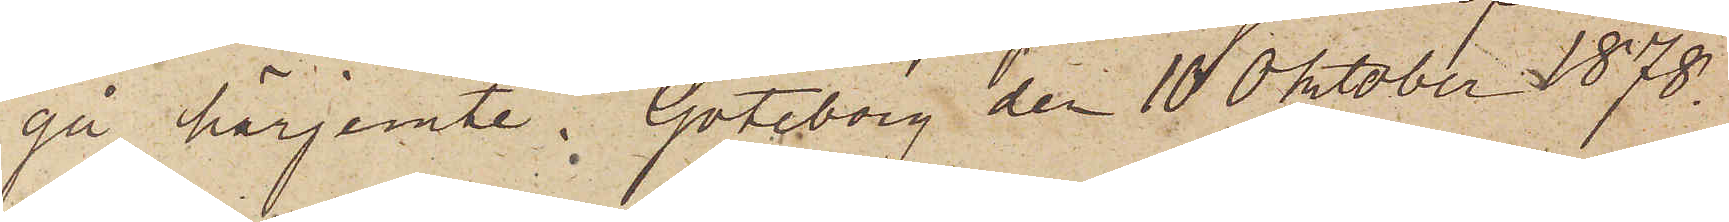gå härjemte. Göteborg den 10 Oktober 1878.
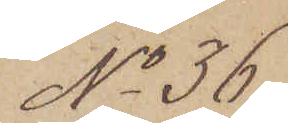No 36
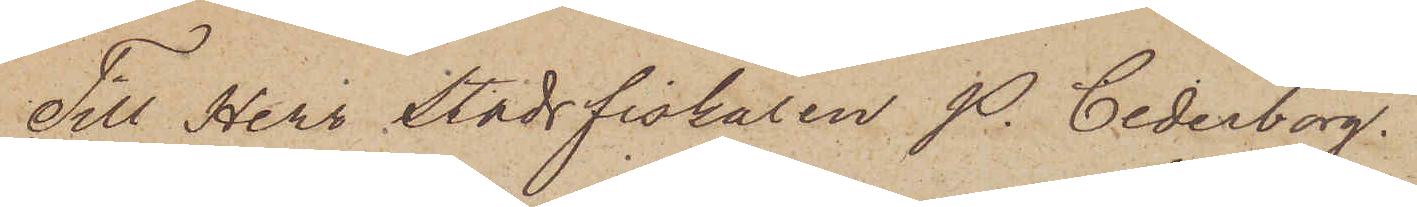Till Herr Stadsfiskalen P. Cederborg.
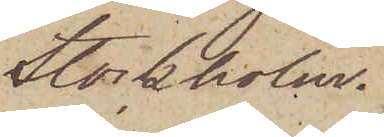Stockholm.
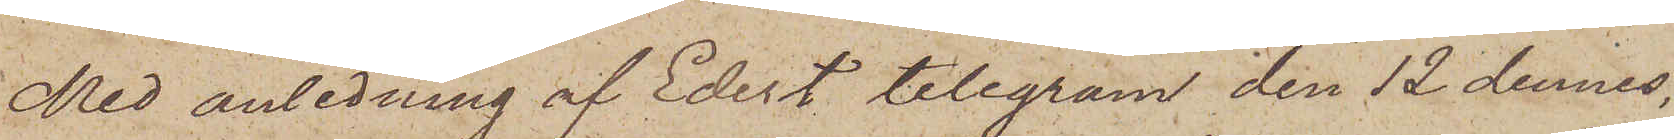Med anledning af Edert telegram den 12 dennes,
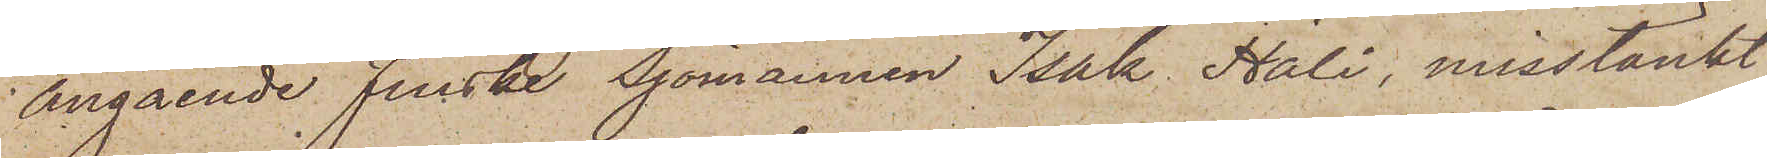angående Finske Sjömannen Isak Häli, misstänkt
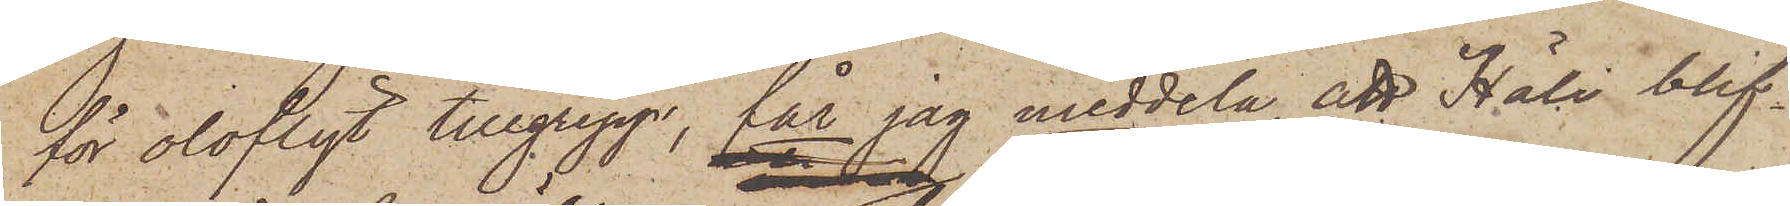för olofligt tillgrepp, får jag meddela, att Häli blif¬
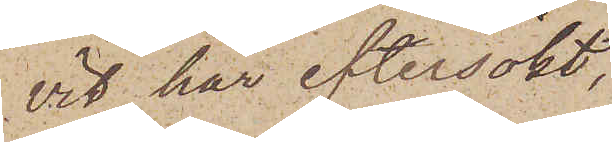vit här eftersökt,
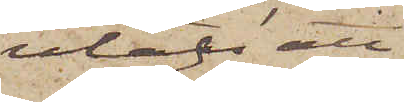utan att
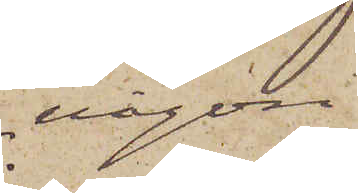 någon
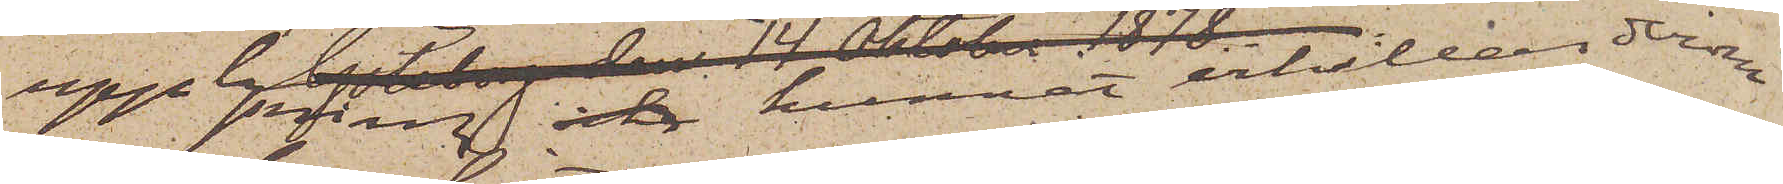upplysning icke kunnat erhållas derom
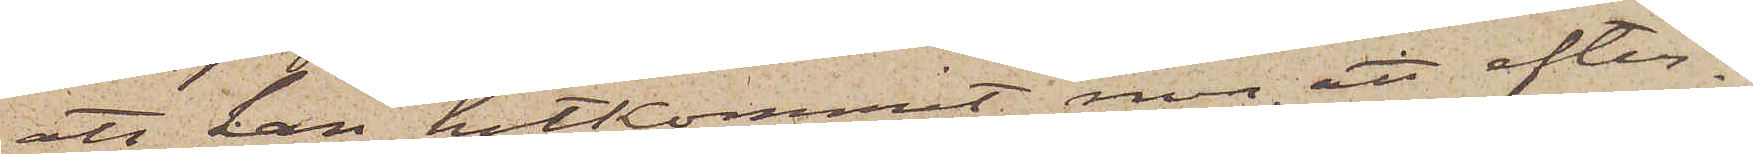att han hitkommit, men att efter¬
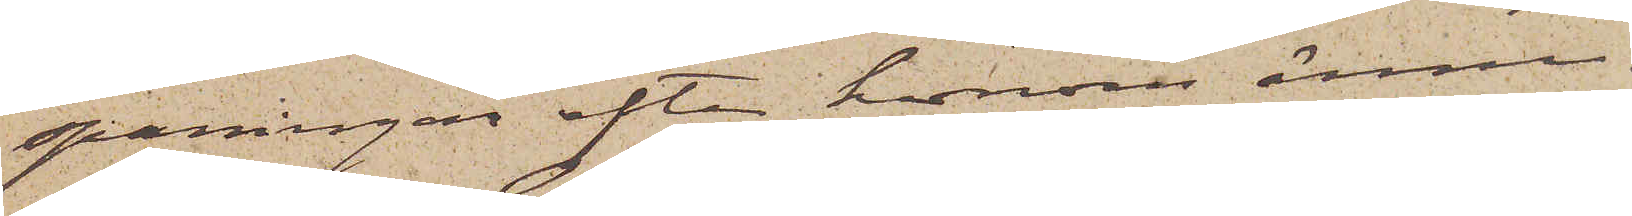spaningar efter honom ännu
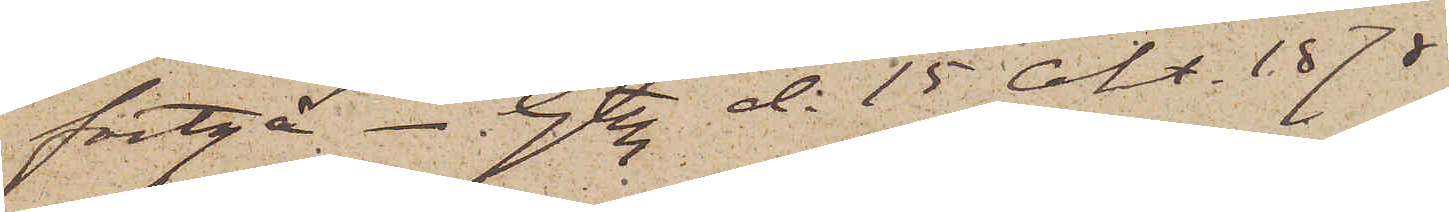fortgå. Gtbg d. 15 Okt. 1878.
